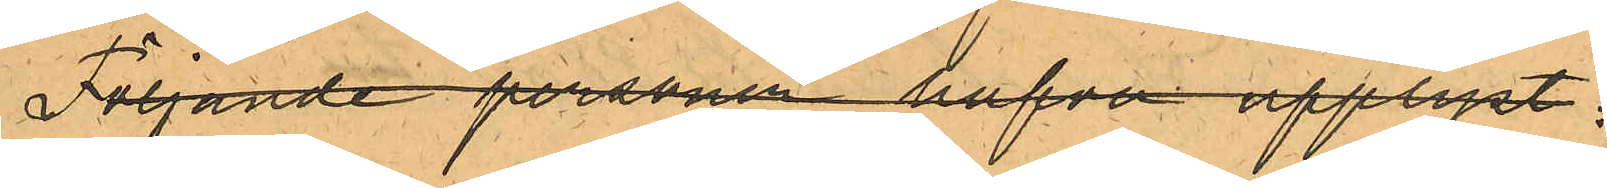Följande personer hafva upplyst:
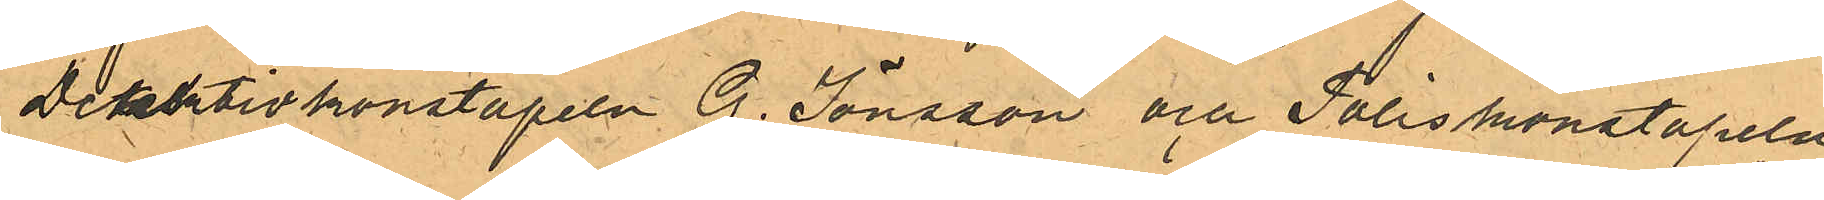Detektivkonstapeln G. Jönsson och Poliskonstapeln
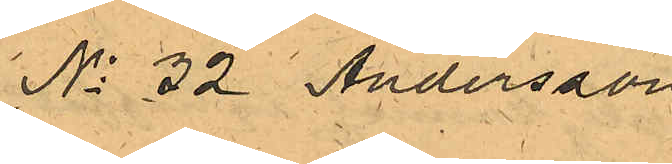No 32 Andersson
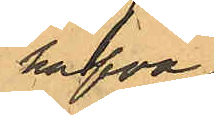hafva
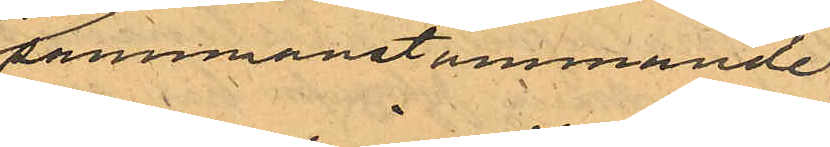sammanstämmande
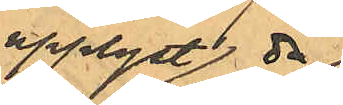upplyst
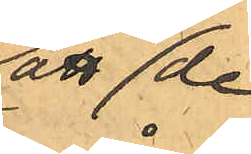att då de
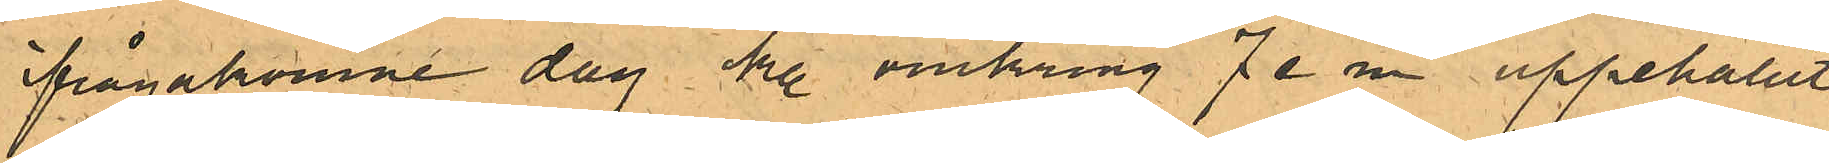ifrågakomne dag kl. omkring 7 e. m. uppehållit
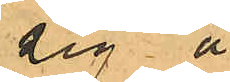sig å
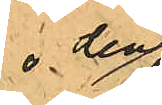den
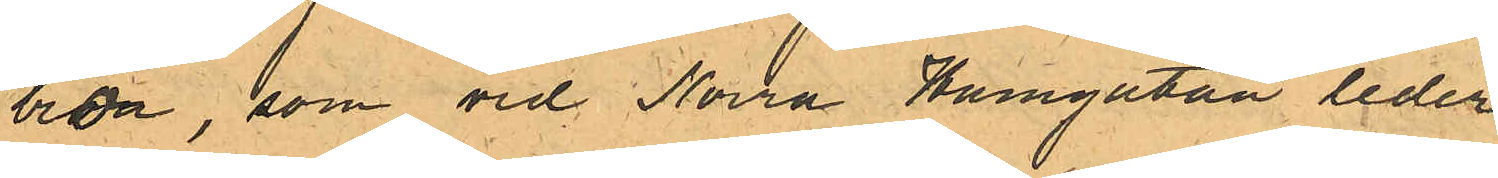bron, som vid Norra Hamgatan leder
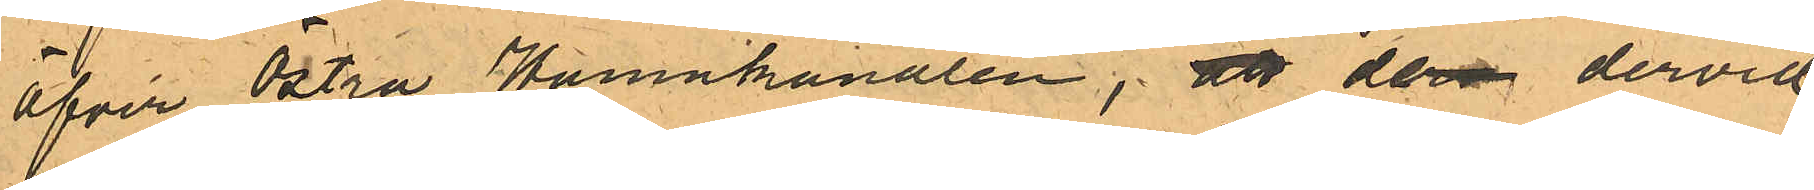öfver Östra Hamnkanalen; att de dervid
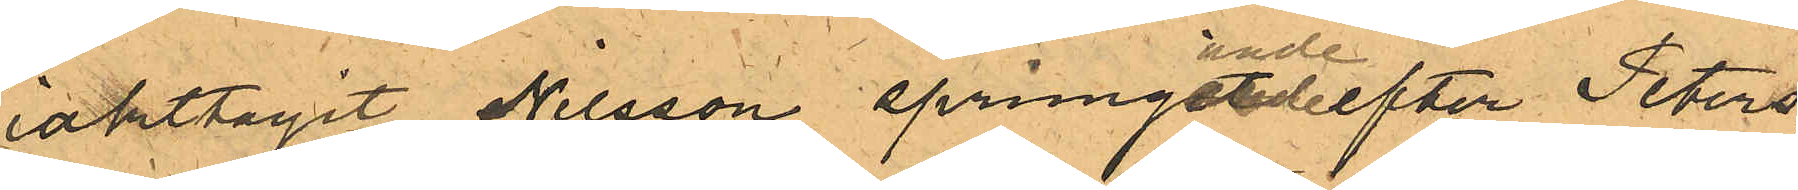iakttagit Nilsson springande efter Peters¬
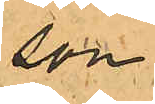son
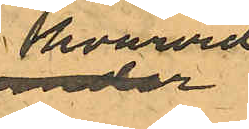hvarvid
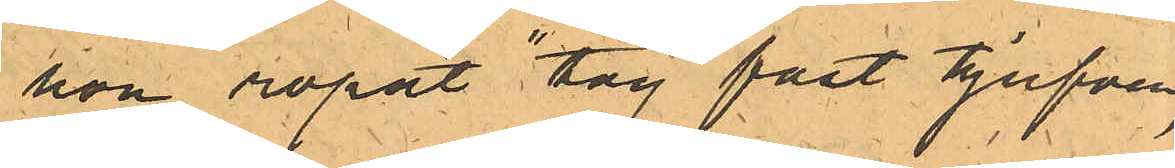han ropat "tag fast tjufven,
